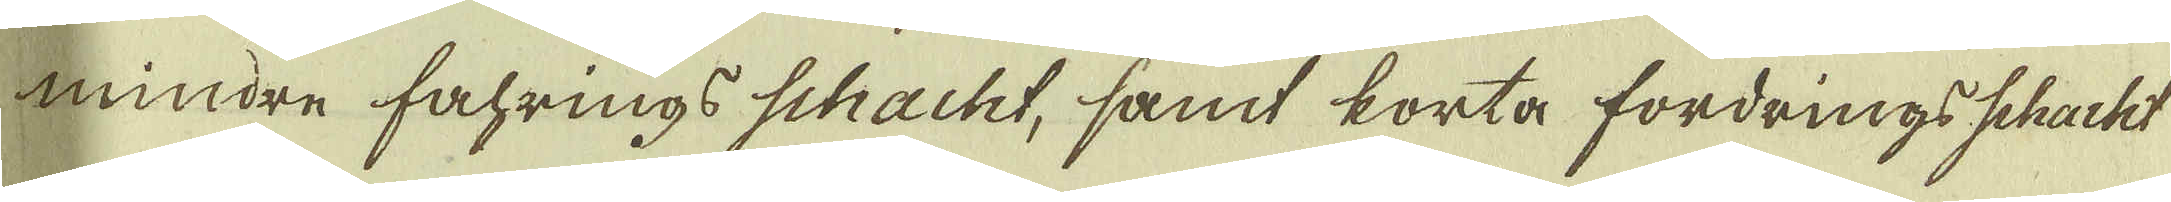mindre fahrings schacht, samt korta fordrings schacht
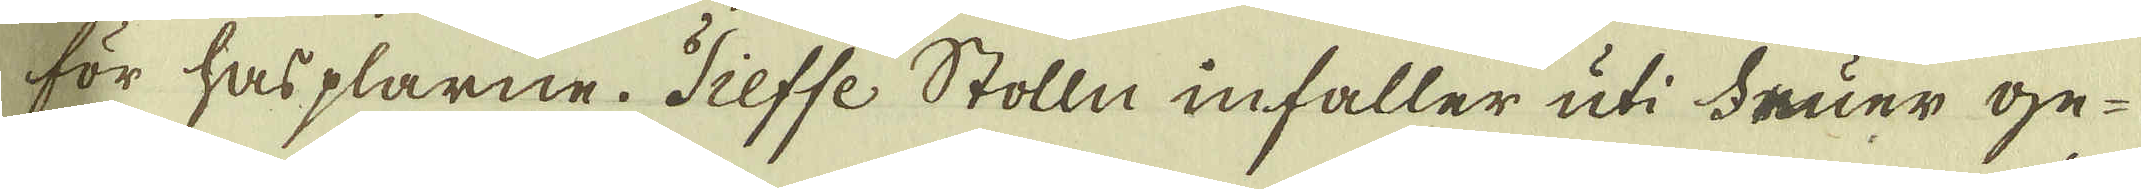för hasplarne. Tieffe Stolln infaller uti Fruer ge-
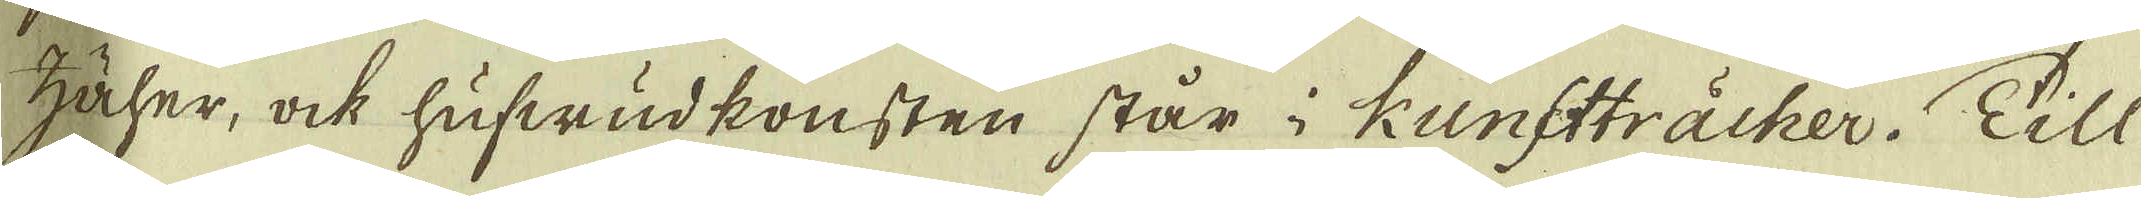Häler, ock hufwudkonsten står i Kunstträcker. Till-
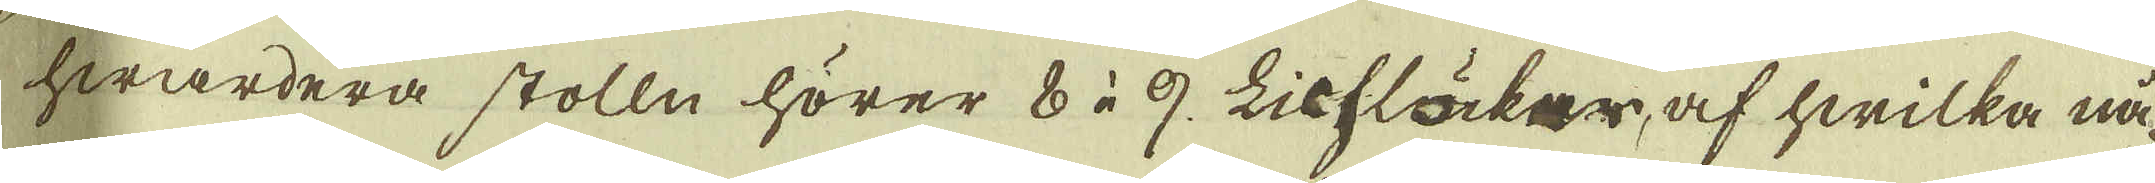hwardera stolln hörer 8 à 9. Lichläcker, af hwilka nå-
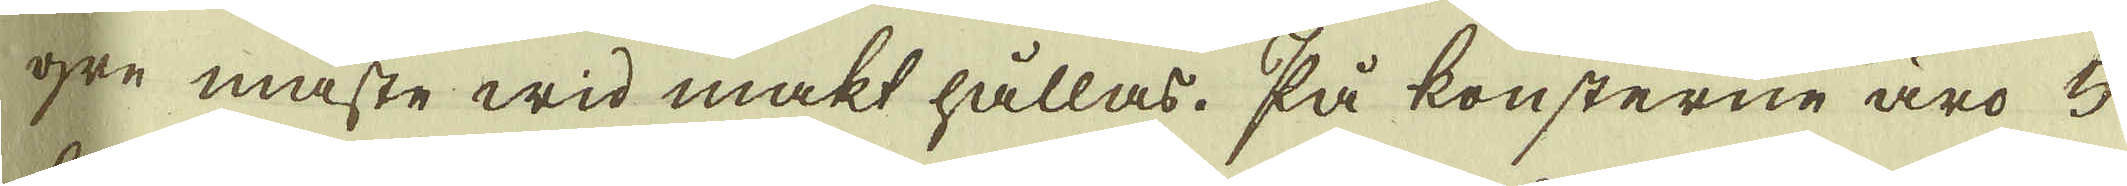gre måste wid makt hållas, så konsterne äro 5
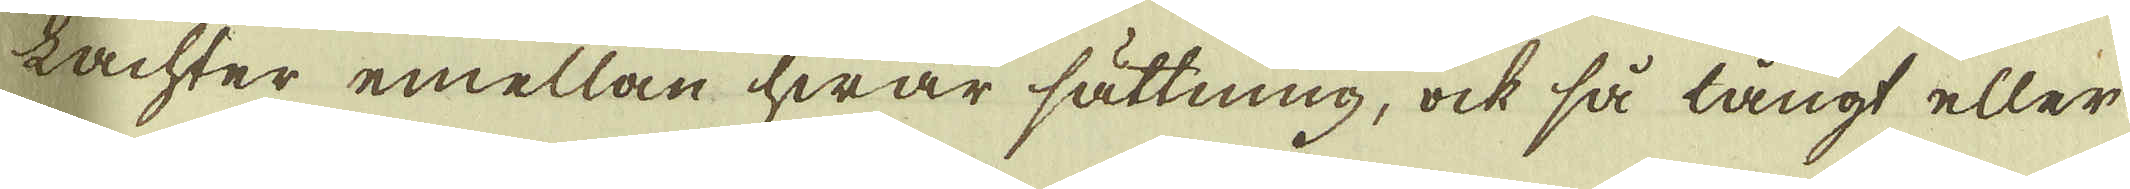lachter emellan hwar sättning, ock så långt eller
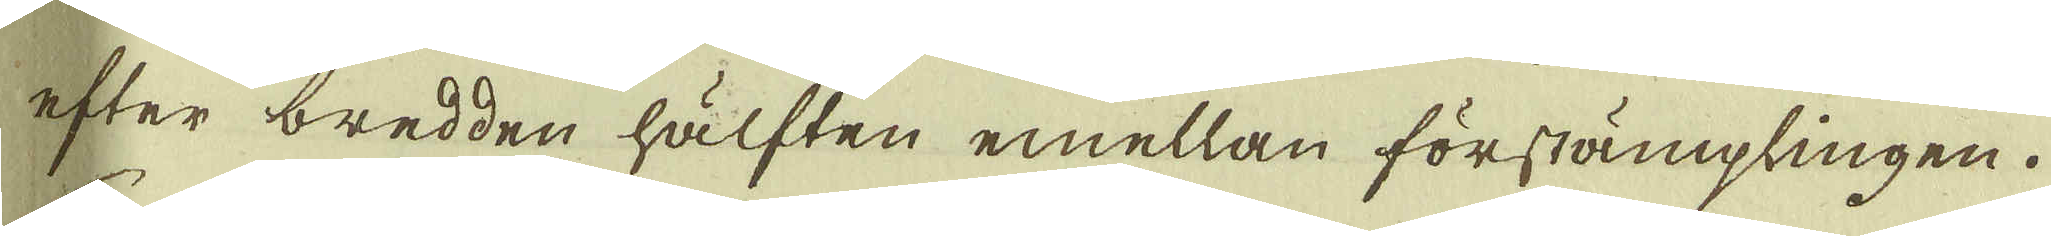efter bredden hälften emellan förstämplingen.
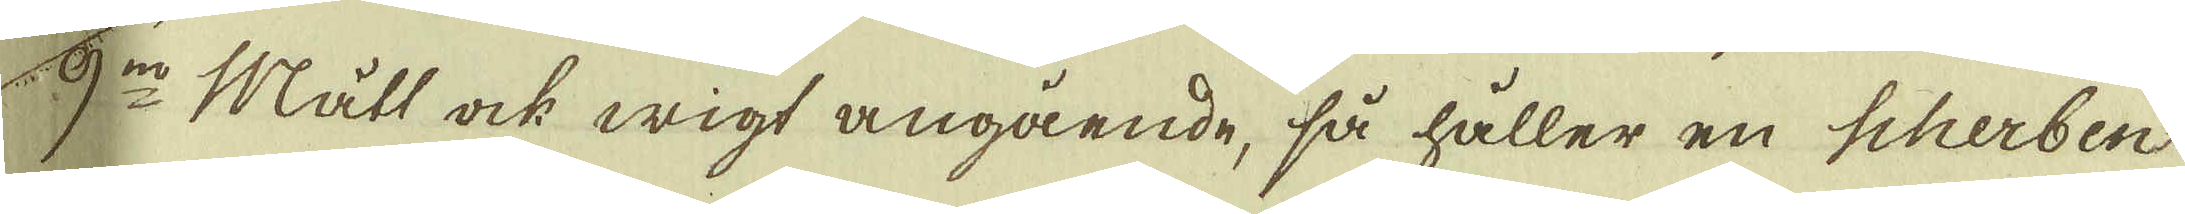9:no Mått ock wigt angående, så håller en Scherben
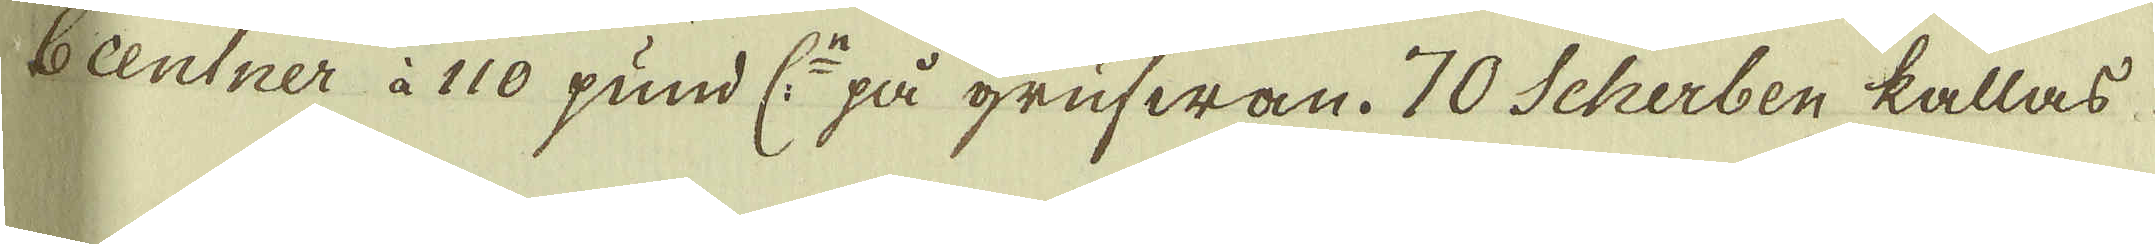6 centner i 110 pund C:n på grufwan. 70 Scherben kallas
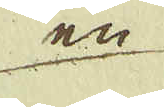en
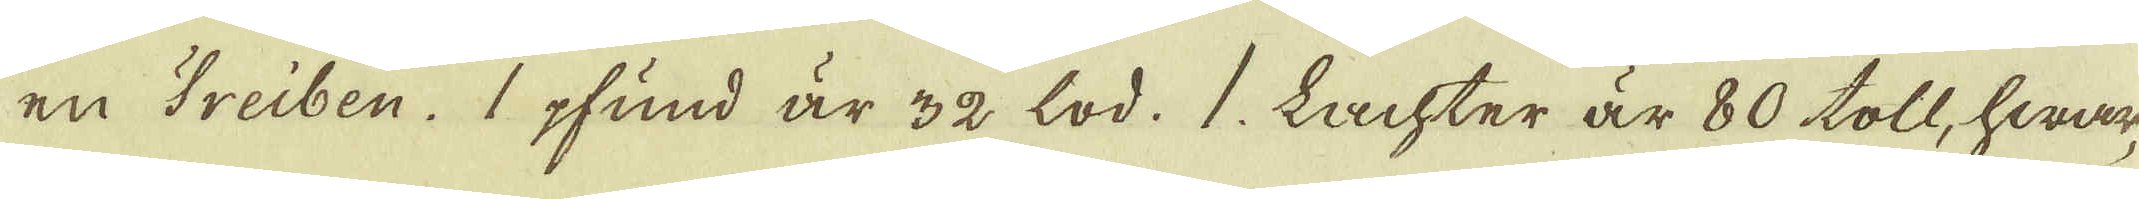en Treiben. 1 pfund är 32 lod. 1. Lachter är 80 toll, hwar-
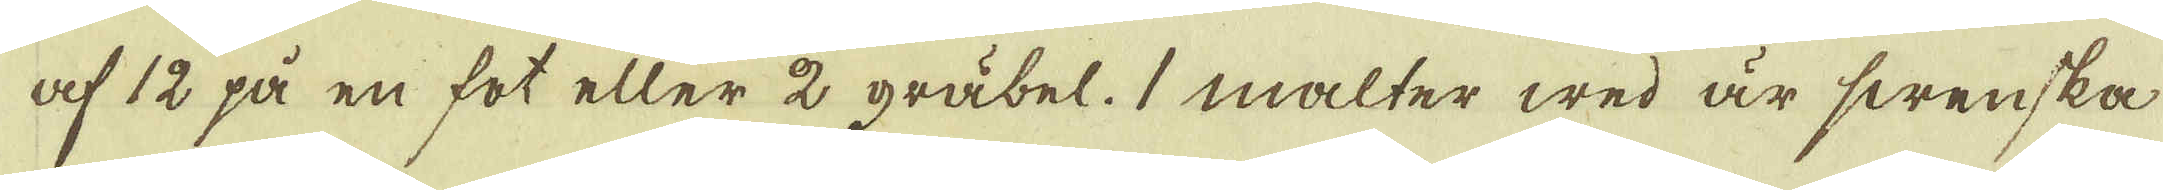af 12 på en fot eller 2 gräbel. 1 malter wed är swenska
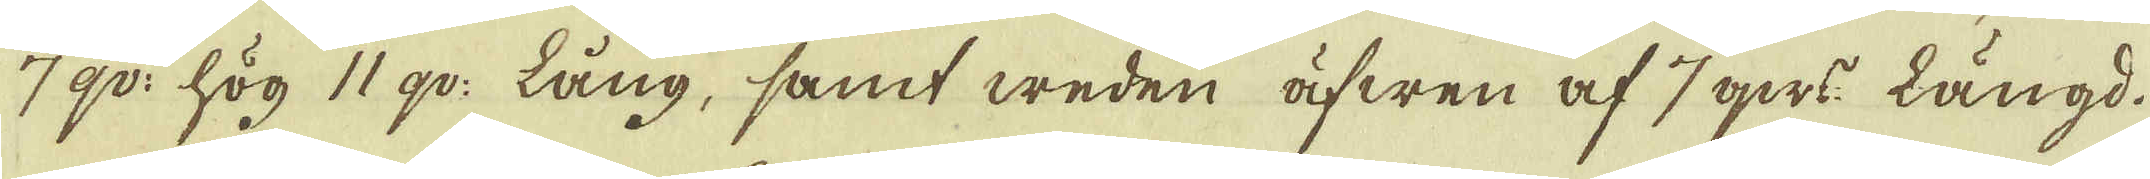7 qv: hög 11 qv: Lång, samt weden äfwen af 7 qws: Längd.
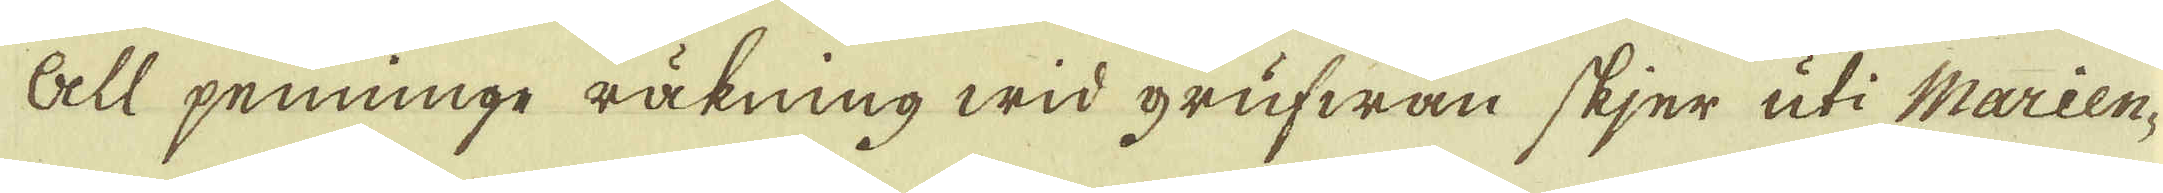All penninge räkning wid grufwan skjer uti Marien-
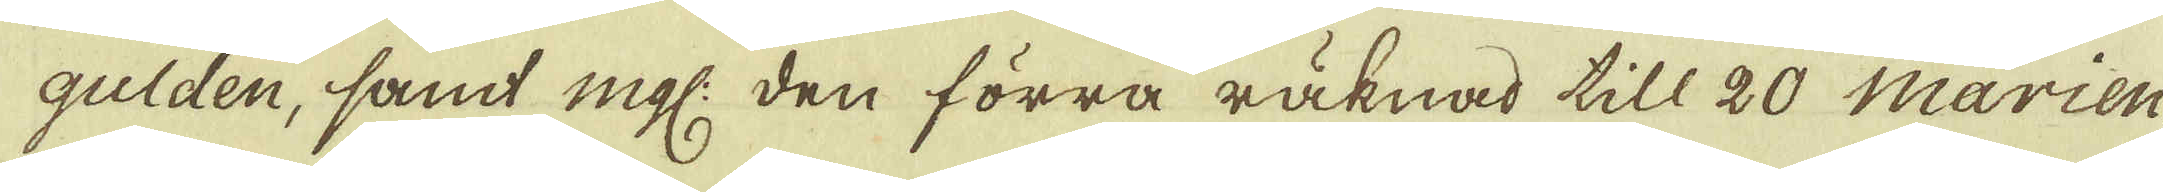gulden, samt mgl. den förra räknad till 20 Marien-
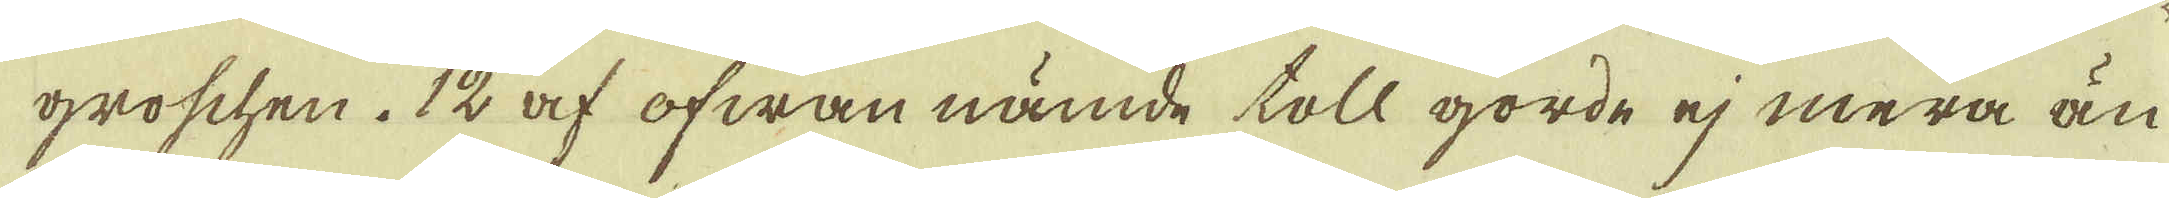groschen. 12 af ofwan nämde toll gorde ej mera än
